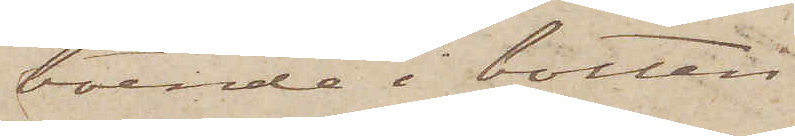boende i botten¬
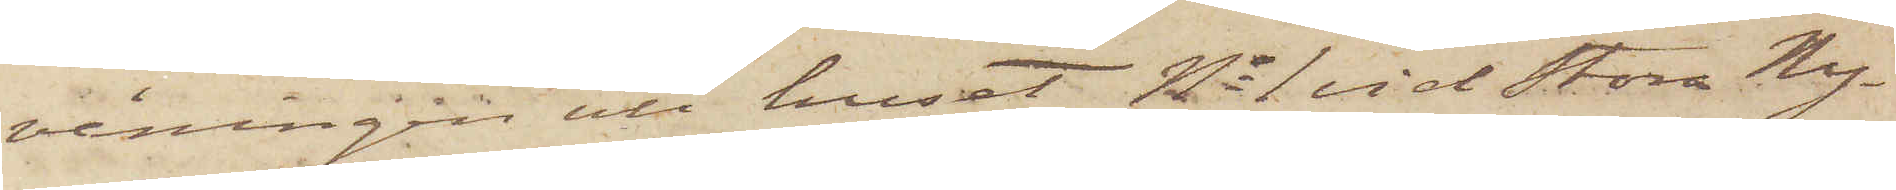våningen uti huset No 1 vid Stora Ny¬
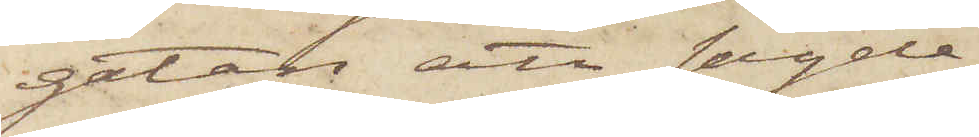gatan, att sagde
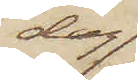dag
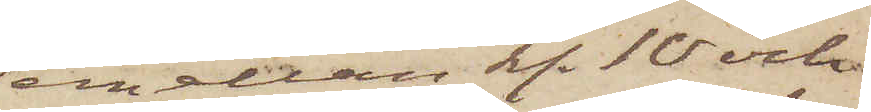emellan kl. 10 och
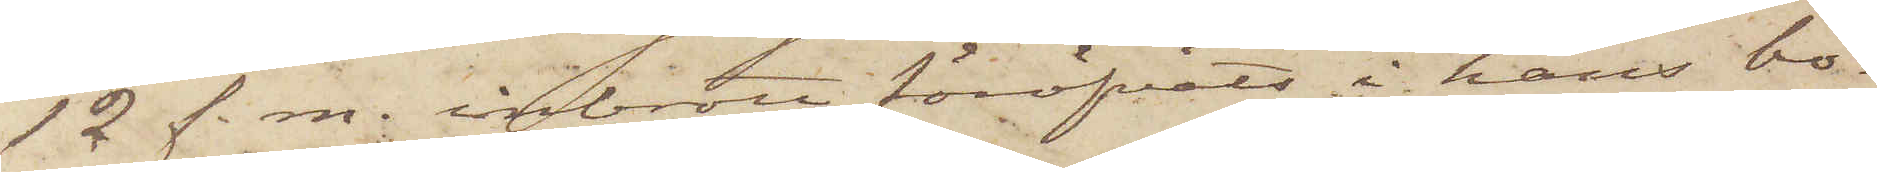12 f. m. inbrott föröfvats i hans bo¬
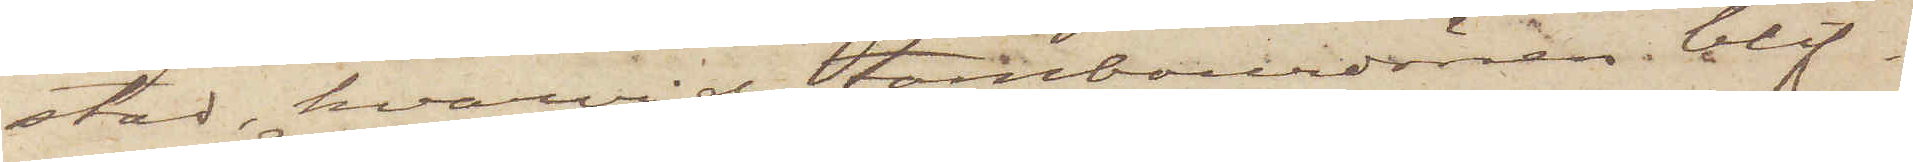stad, hvarvid tambourdörren blif¬
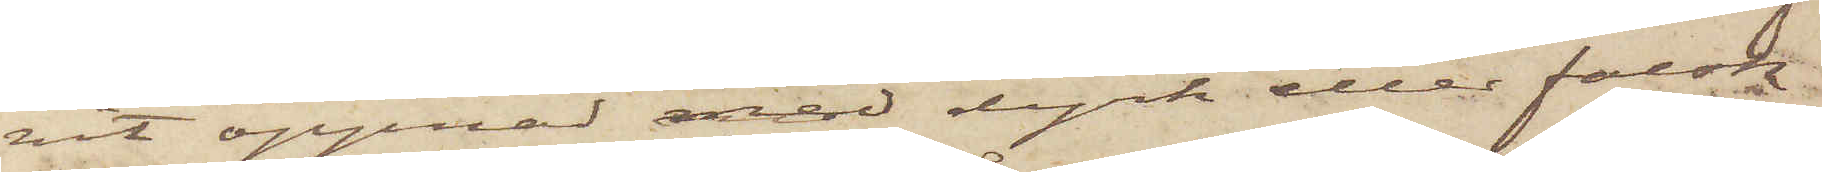vit öppnad med dyrk eller falsk
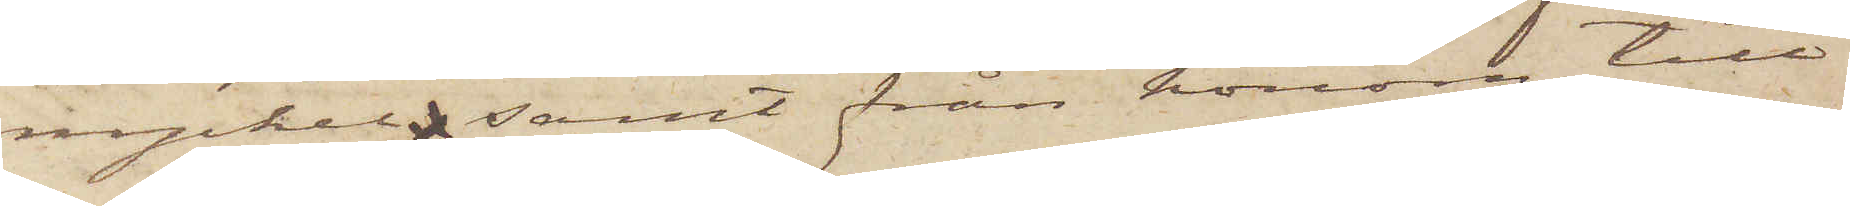nyckel  samt från honom till¬
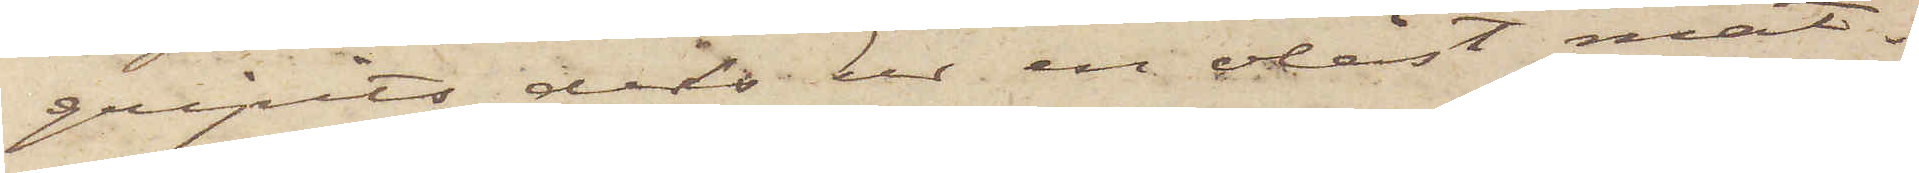gripits dels ur en olåst mat¬
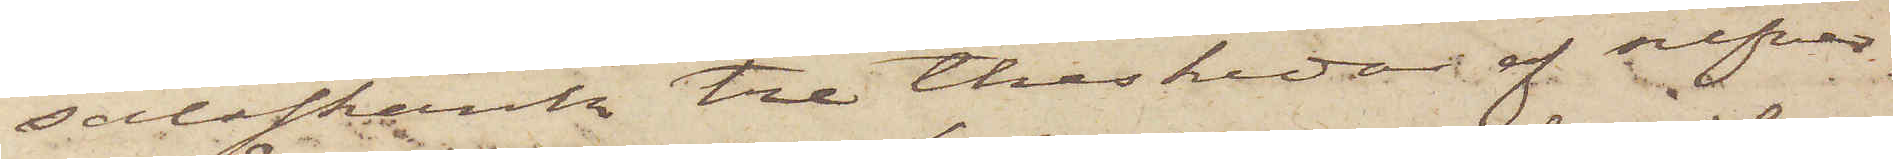salsskänk tre theskedar af silfver,
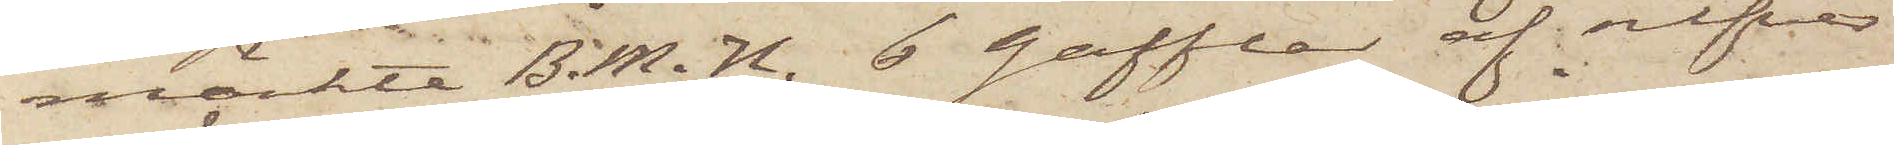märkta B. M. H. 6 gafflar af silfver
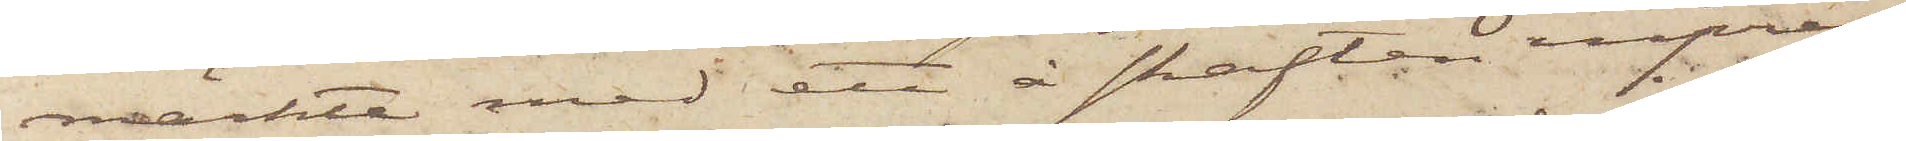märkta med ett å skaften inpres¬
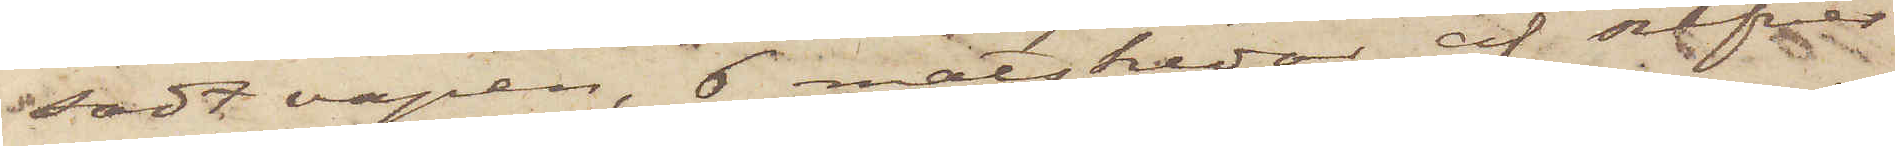sadt vapen, 6 matskedar af silfver
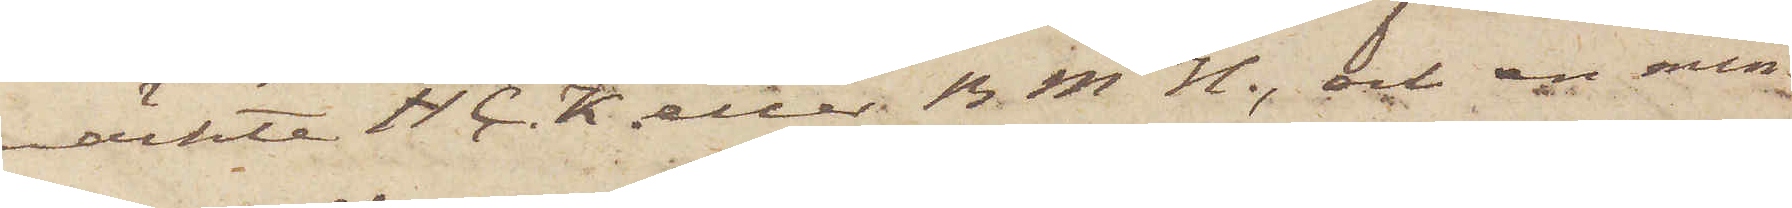märkte H. C. K. eller B. M. H., och en min¬
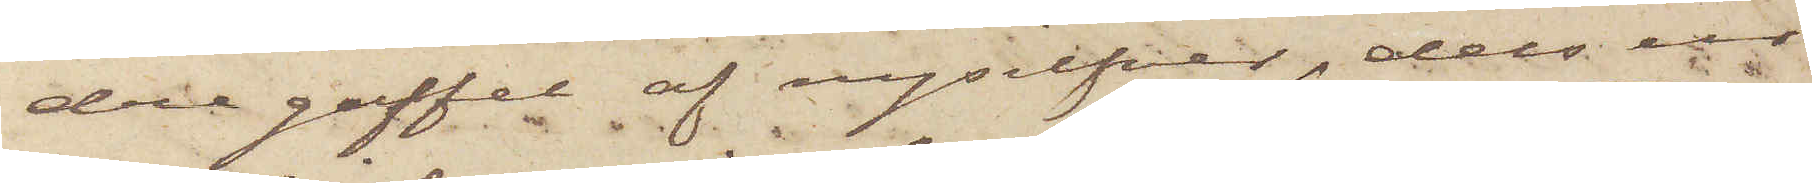dre gaffel af nysilfver, dels ur
